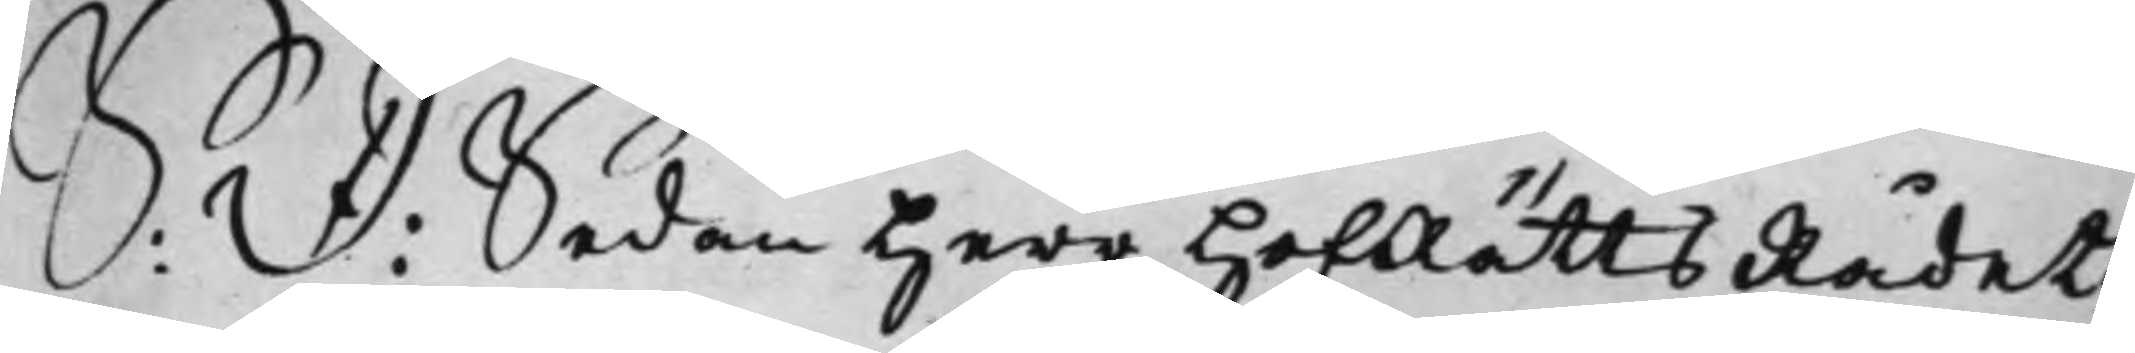S: D: Sedan Herr HofRättsRådet
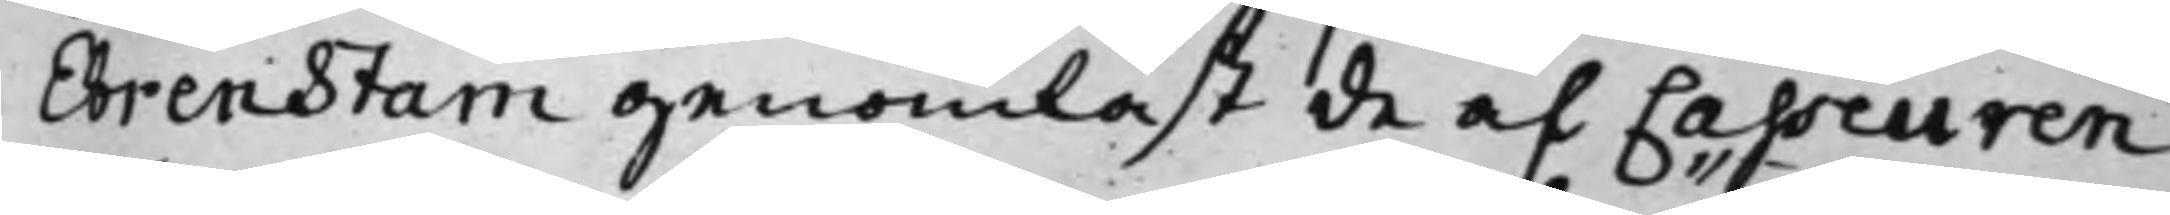Ehrenstam genomläst de af Casseuren
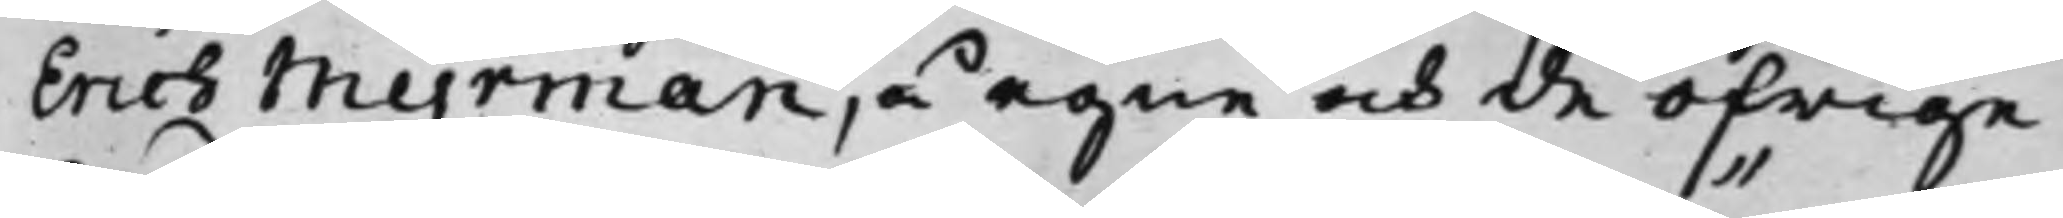Erich Myrman, å egne och de öfrige
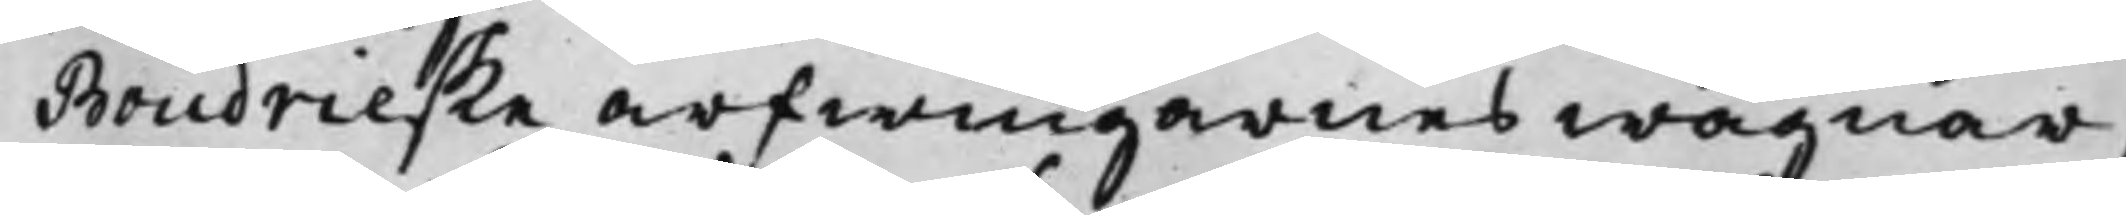Boudrieske arfwingarnes wägnar,
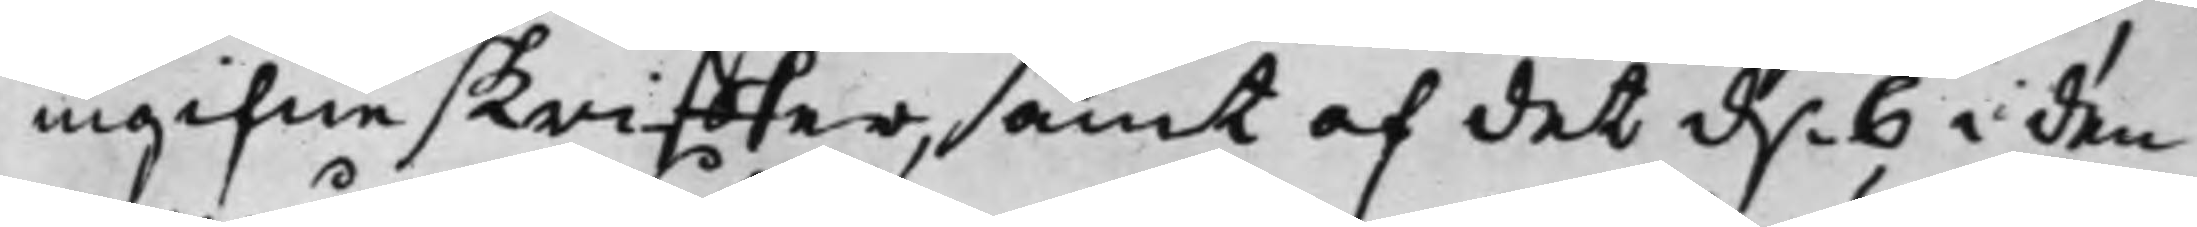ingifne skriffter, samt af det d. 6 i den¬
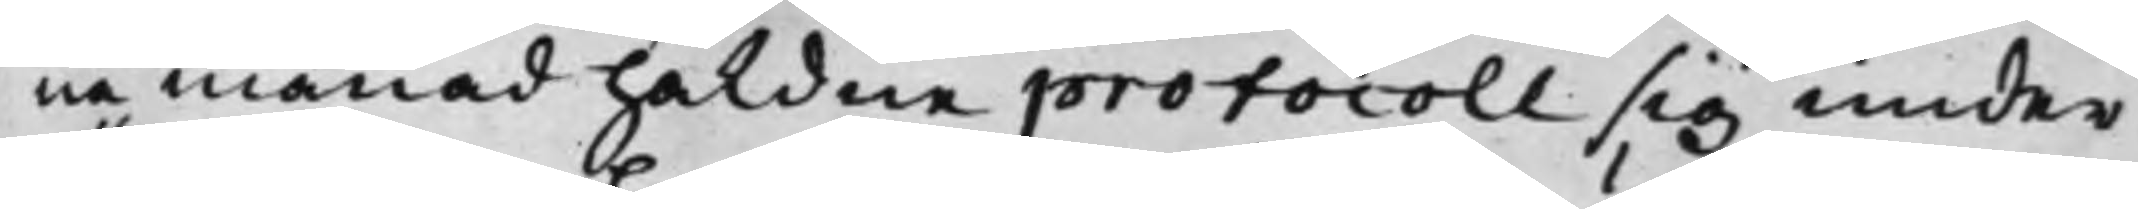na månad håldne protocoll sig under¬
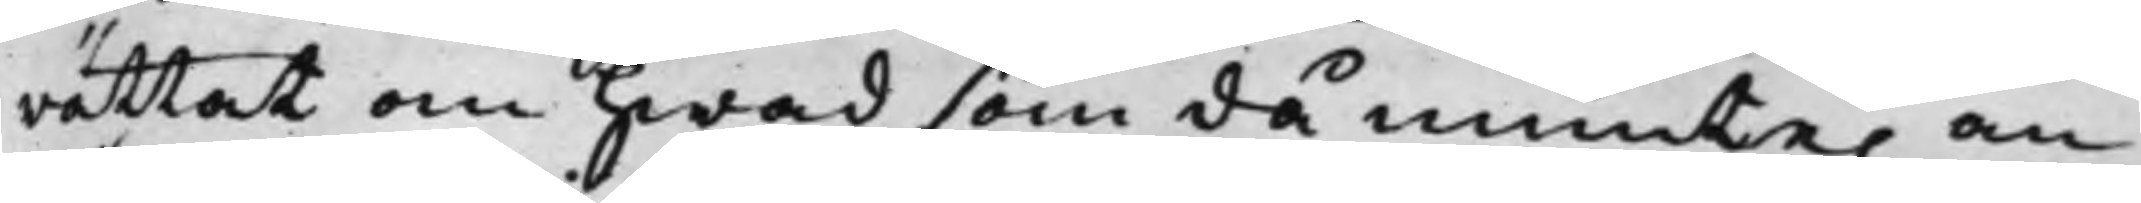rättat om hwad som då munte. an¬
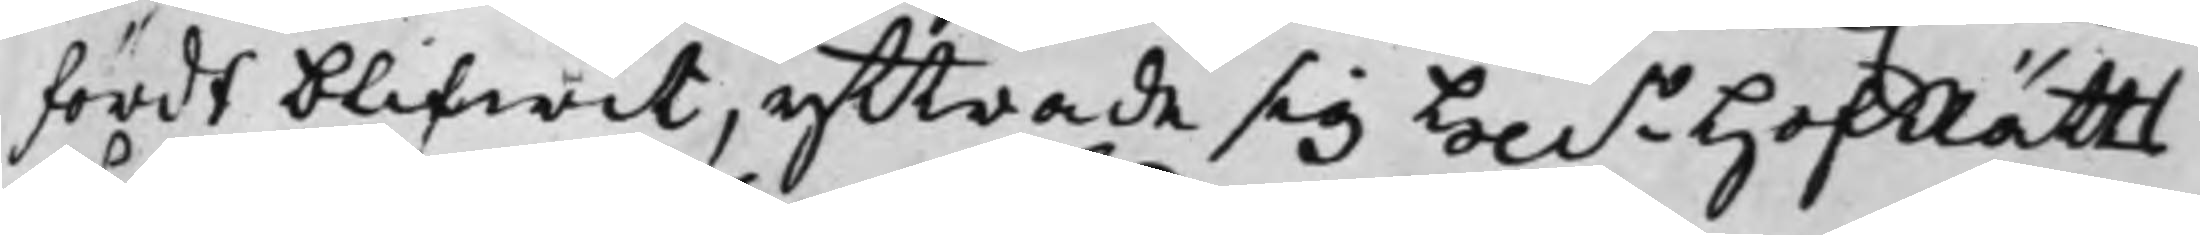fördt blifwit, yttrade sig Hh.r HofRätts¬
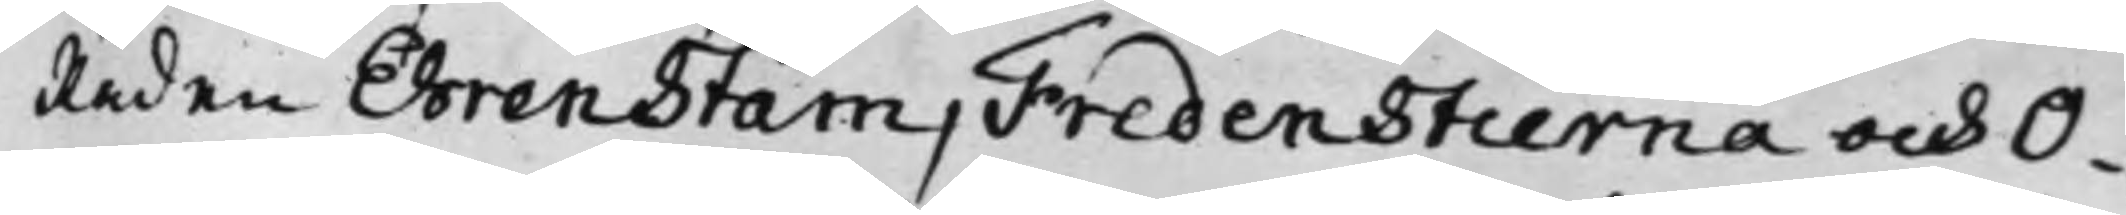Råden Ehrenstam, Fredenstierna och O¬
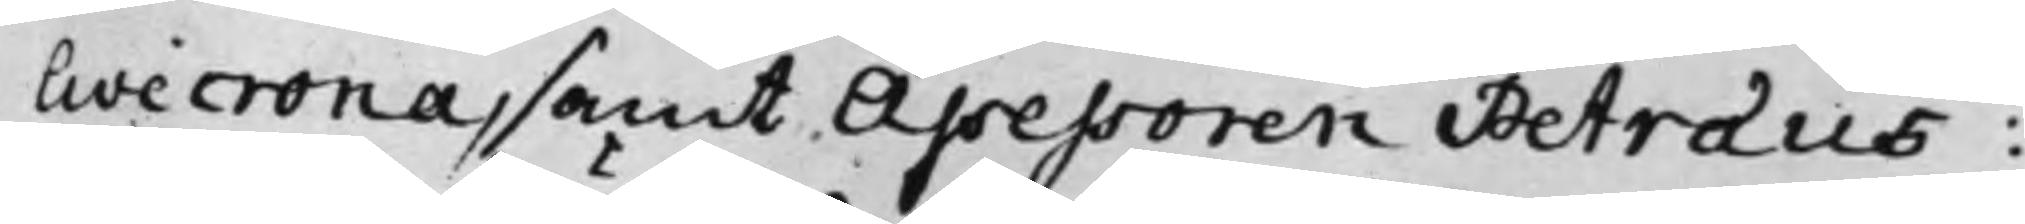livecrona, samt Assessoren Petræus:
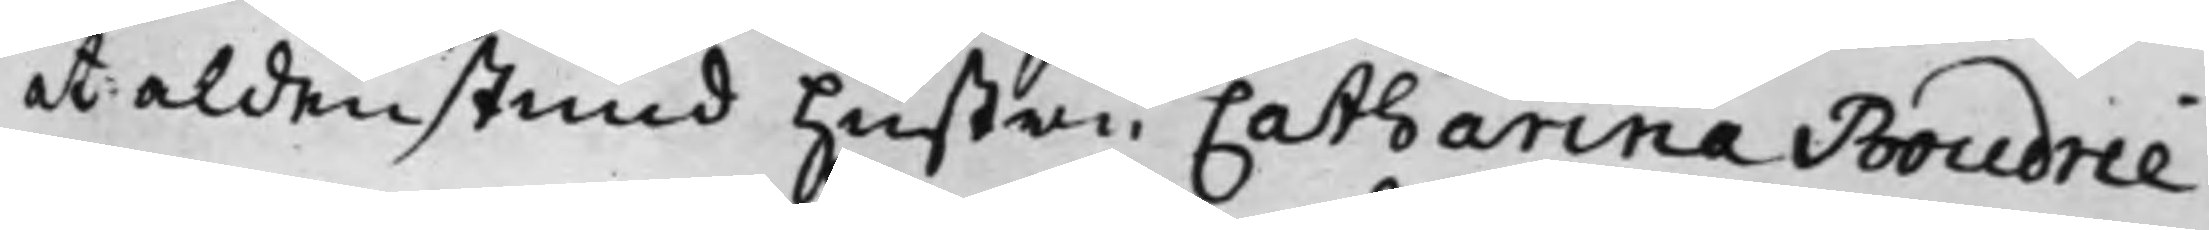at aldenstund Hustru Catharina Boudrie
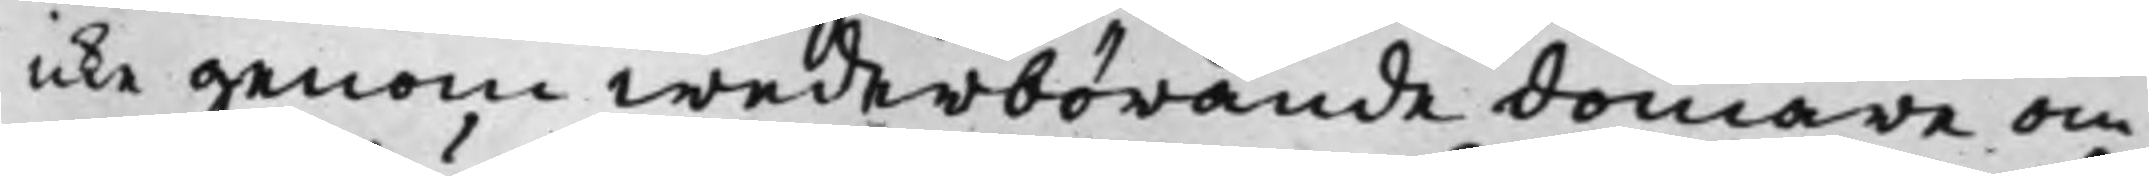icke genom wederbörande domare om
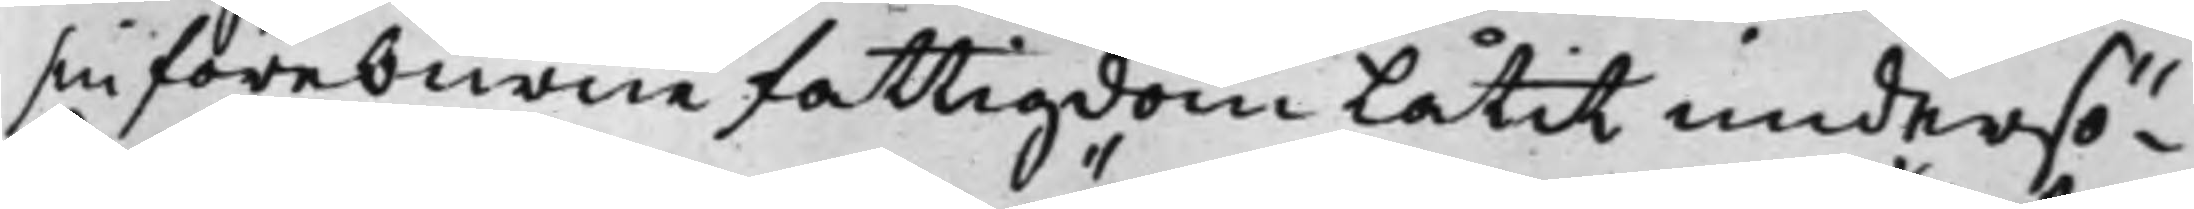sin förburne fattigdom Låtit undersö¬
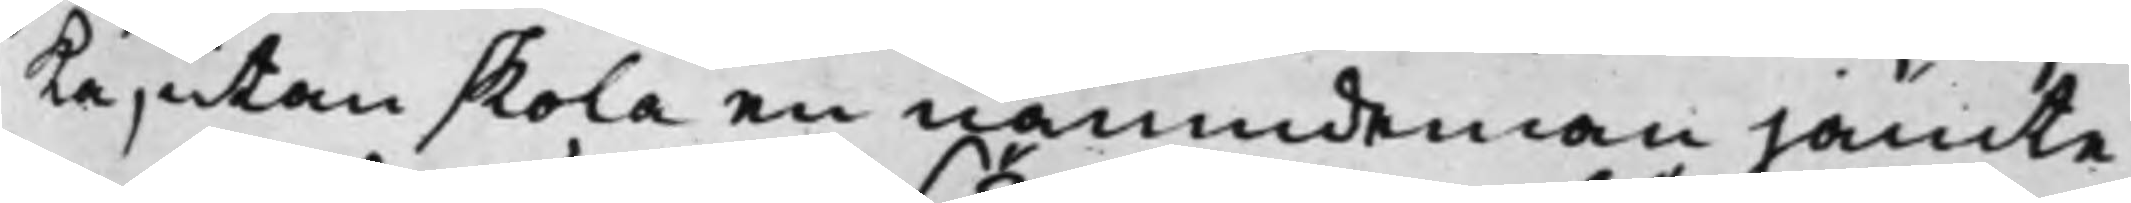ka, utan skola en nämdeman jämte
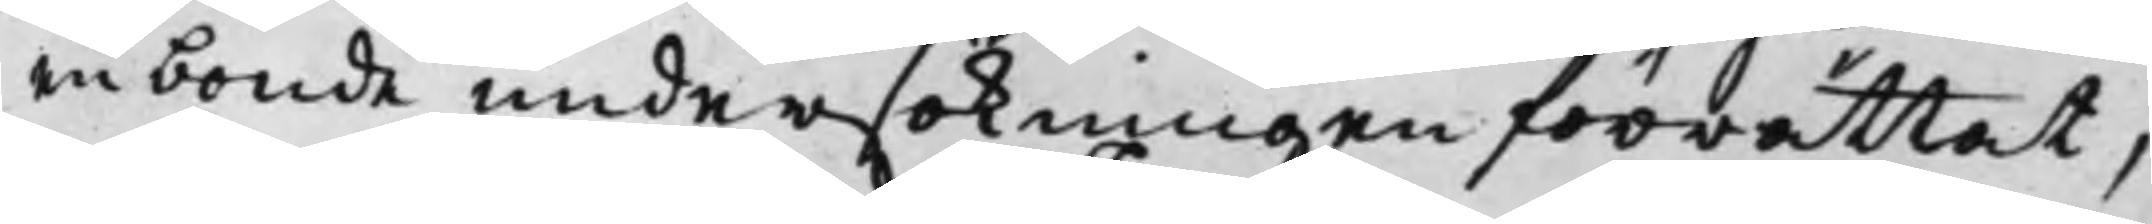en bonde undersökningen förrättat,
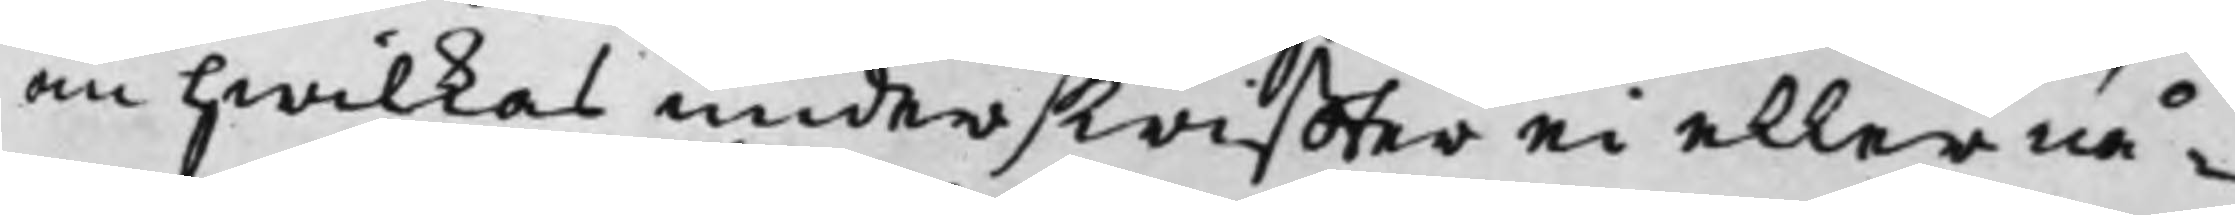om hwilkas underskriffter ei eller nå¬
